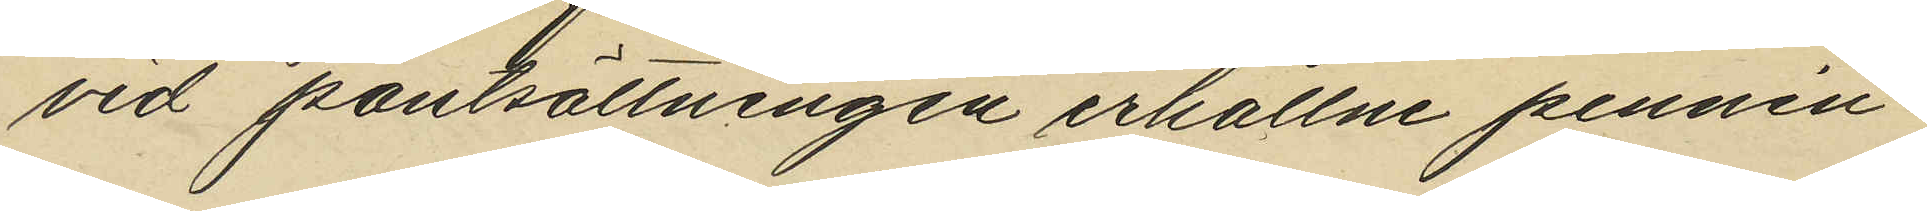vid pantsättningen erhållne pennin¬
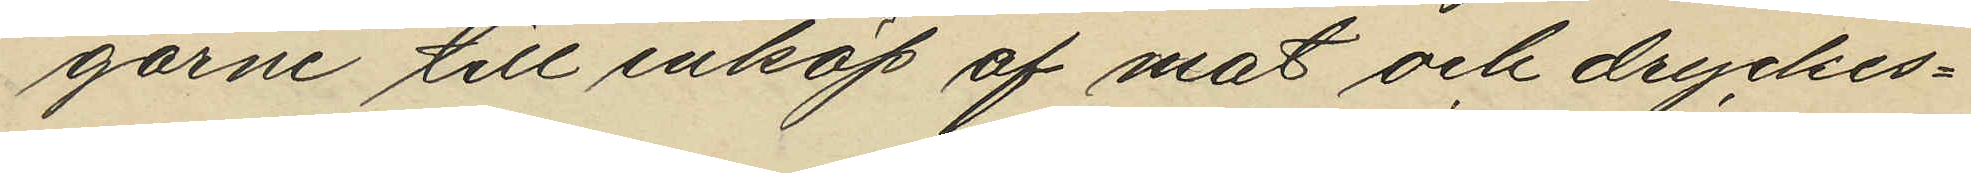garne till inköp af mat och dryckes¬
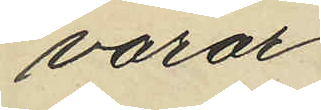varor.
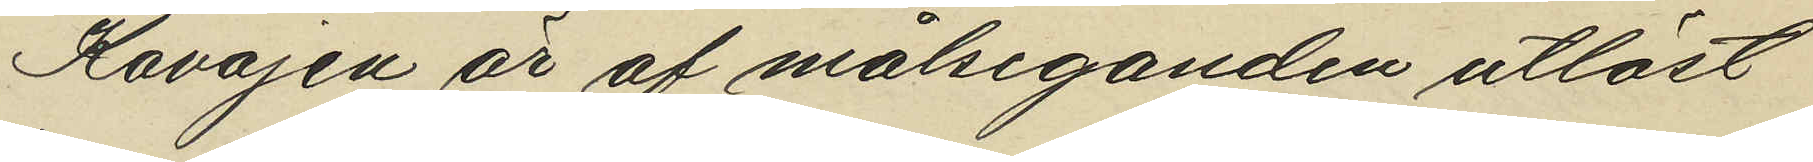Kavajen är af målseganden utlöst
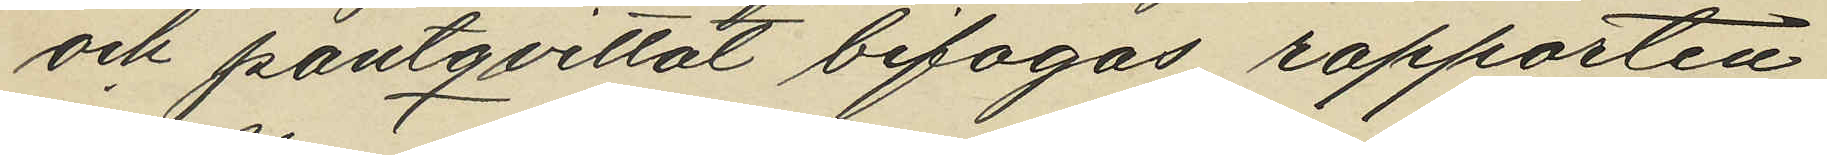och pantqvittot bifogas rapporten
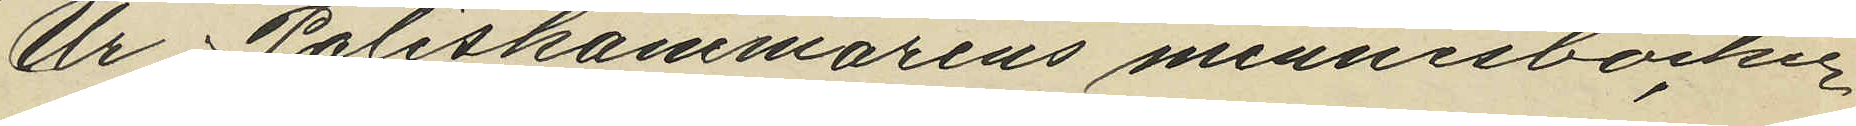Ur Poliskammarens minnesböcker
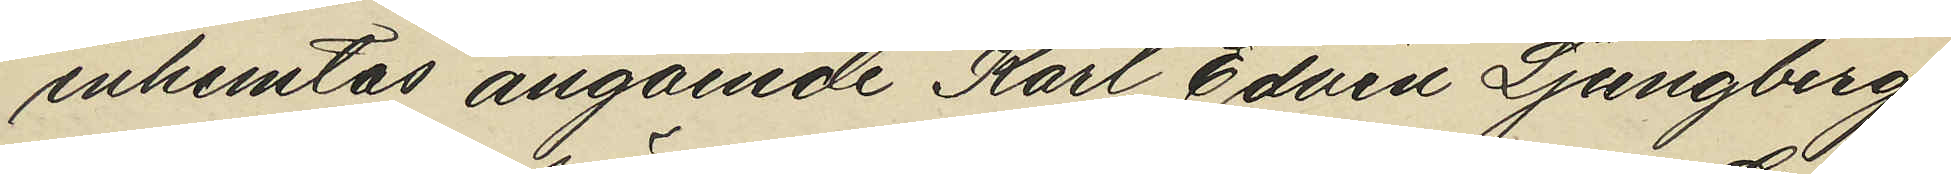inhemtas angående Karl Edvin Ljungberg
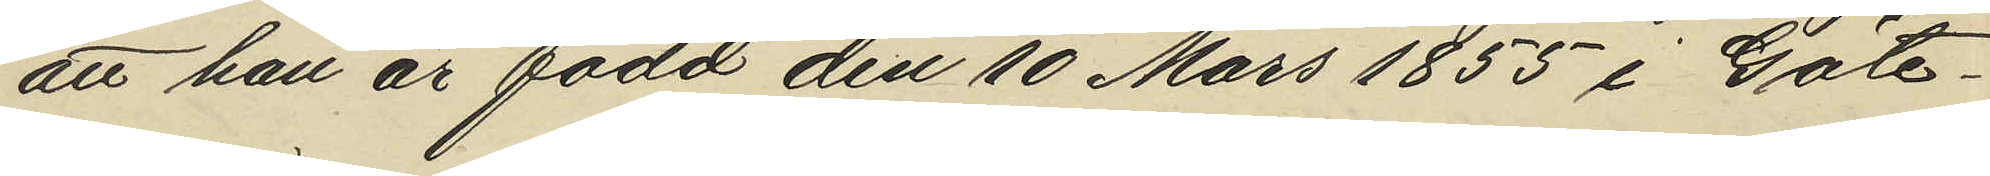att han är född den 10 Mars 1855 i Göte¬
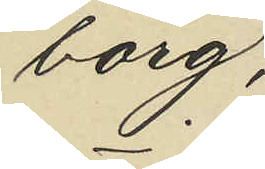borg.
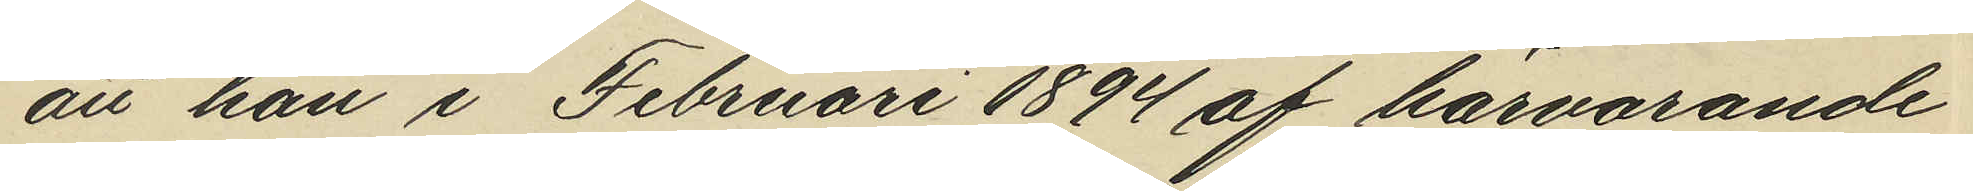att han i Februari 1894 af härvarande
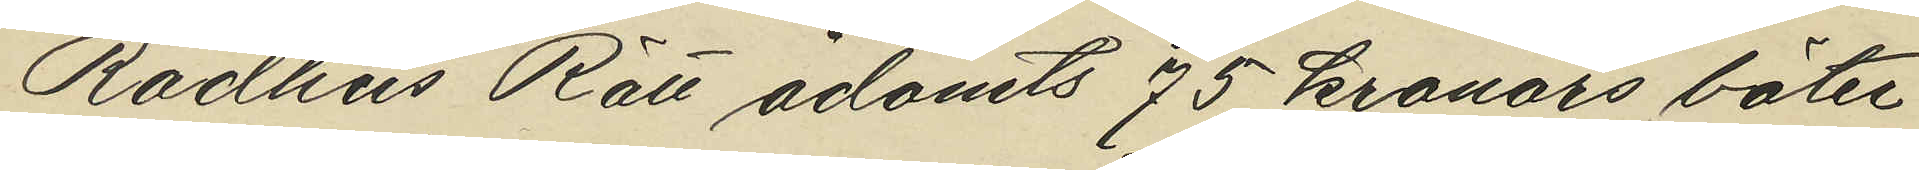Rådhus Rätt ådömts 75 kronors böter
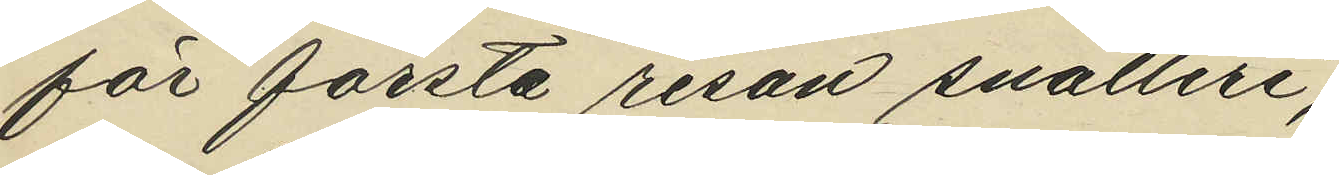för första resan snatteri,
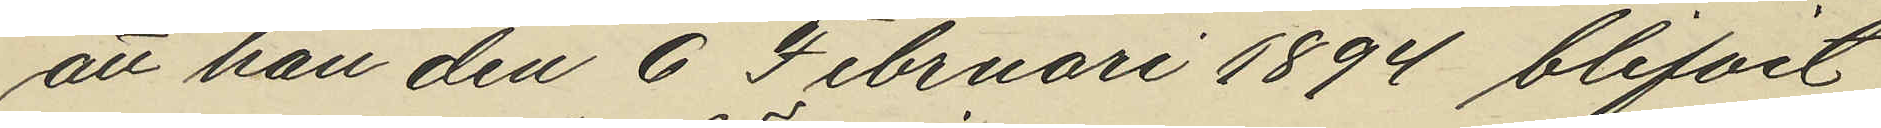att han den 6 Februari 1894 blifvit
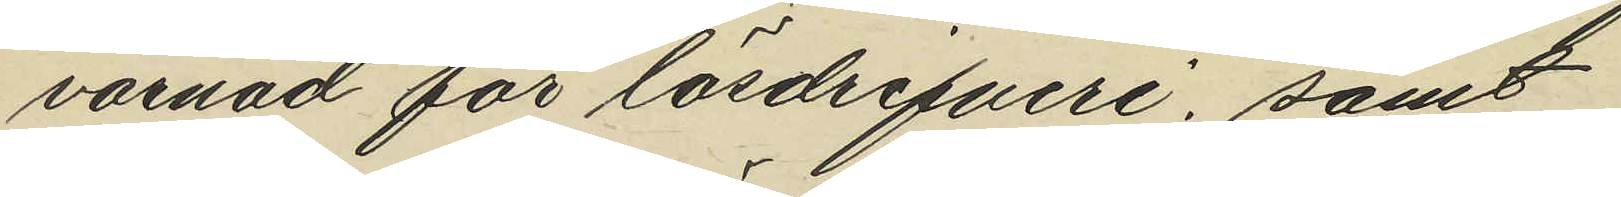varnad för lösdrifveri, samt
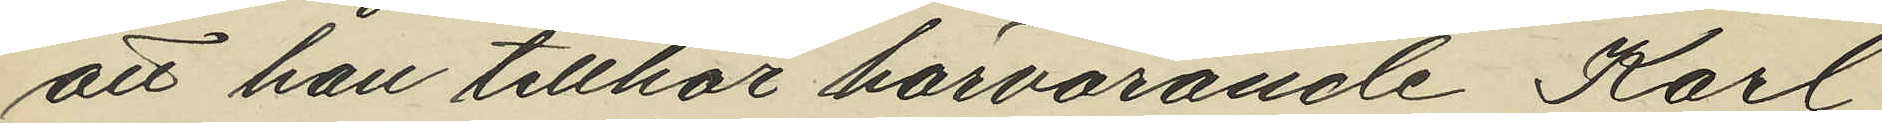att han tillhör härvarande Karl
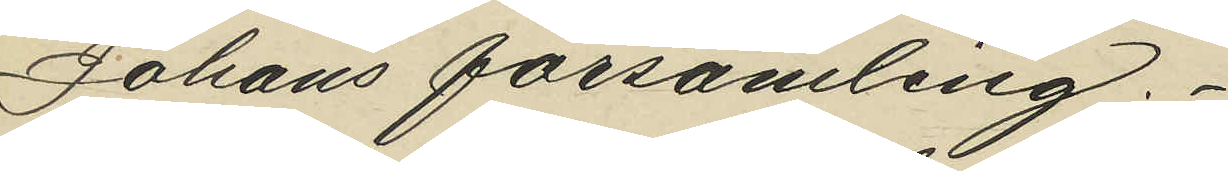Johans församling.
